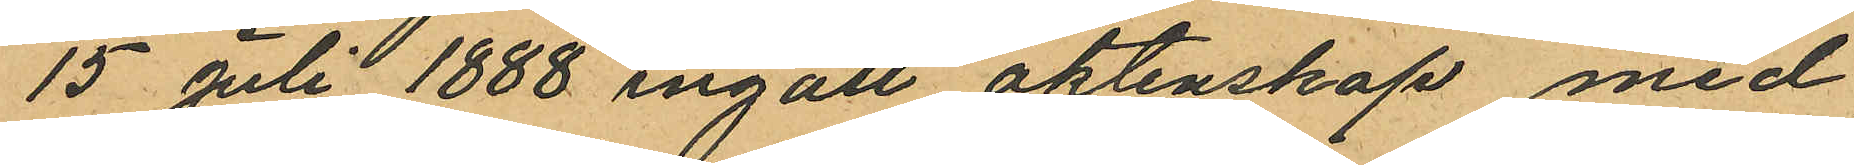15 Juli 1888 ingått äktenskap med
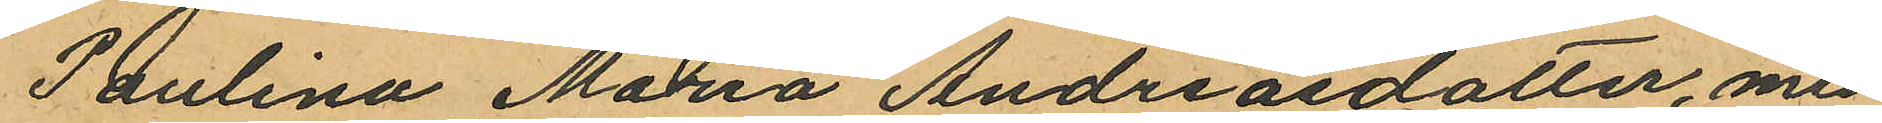Paulina Maria Andreasdotter, med
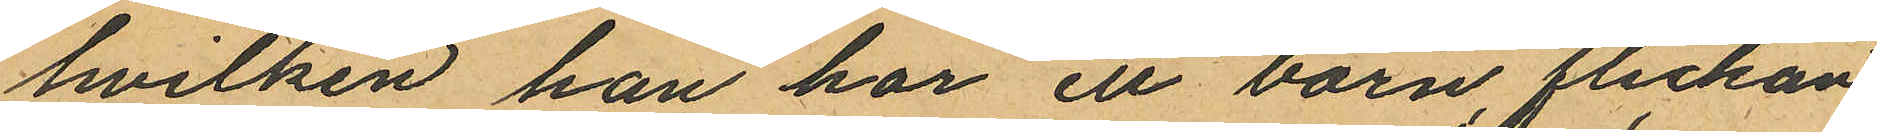hvilken han har ett barn, flickan
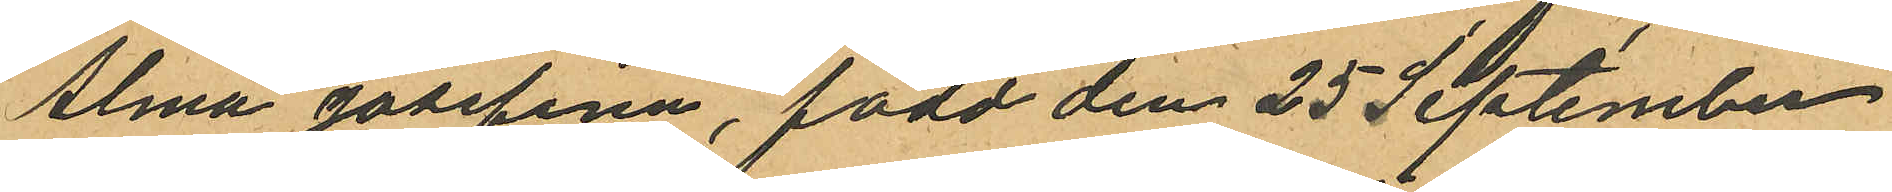Alma Josefina, född den 25 September
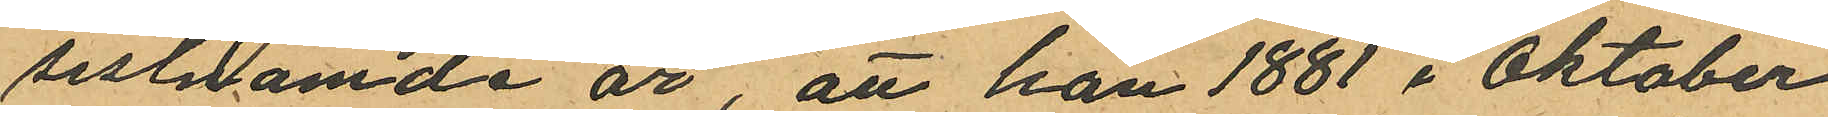sistnämde år, att han 1881 i Oktober
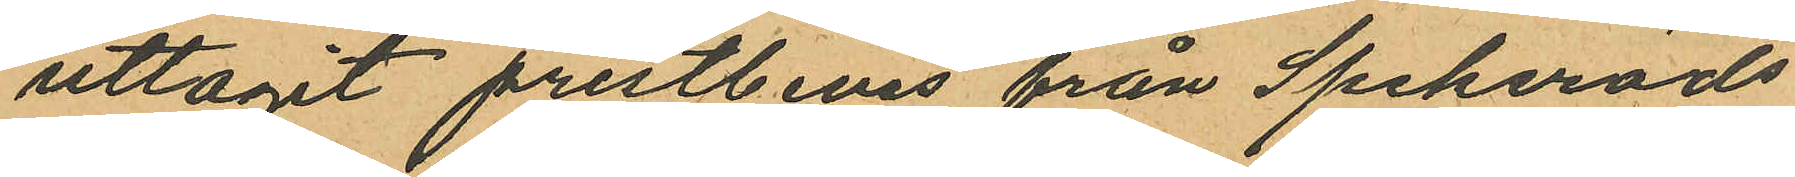uttagit prestbevis från Spekeröds
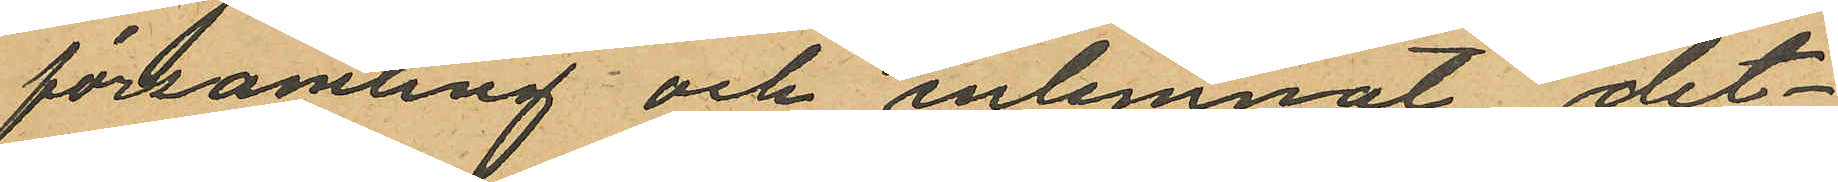församling och inlemnat det¬
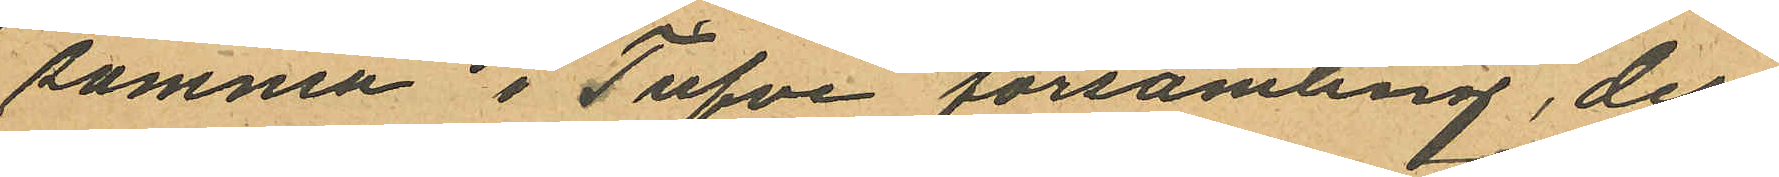samma i Tufve församling, der
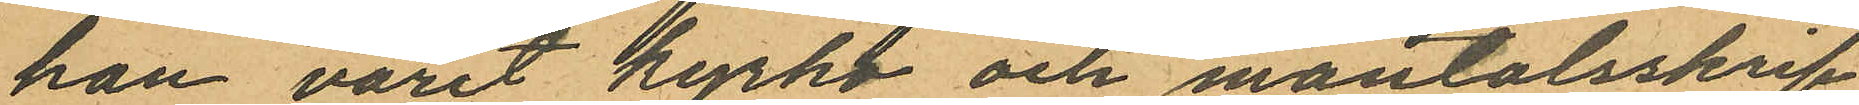han varit kyrko och mantalsskrif¬
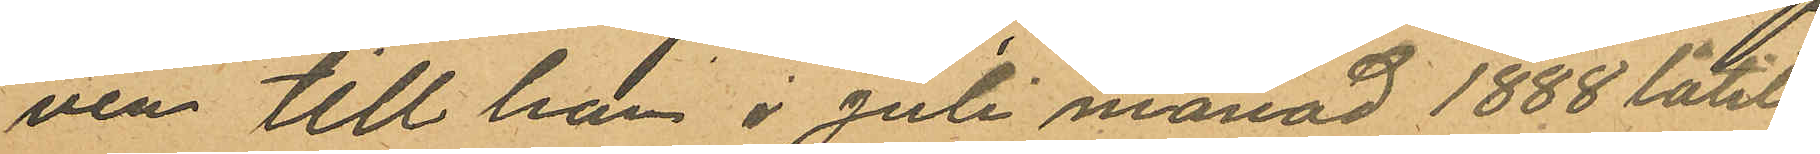ven till han i Juli månad 1888 låtit
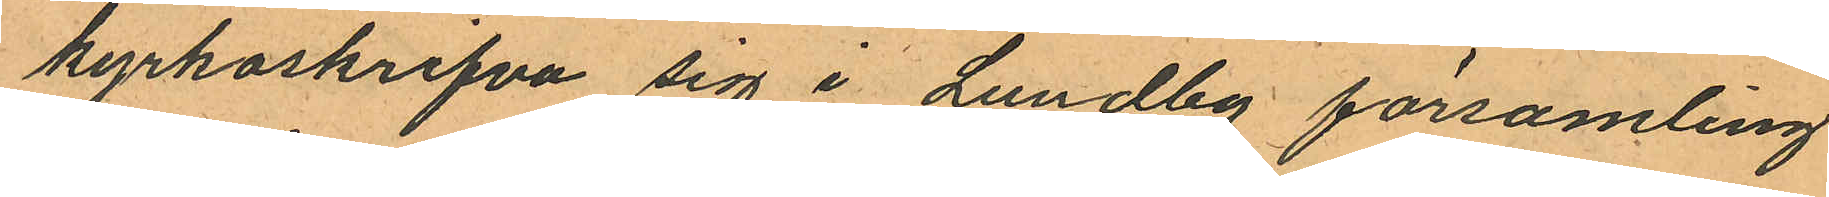kyrkoskrifva sig i Lundby församling
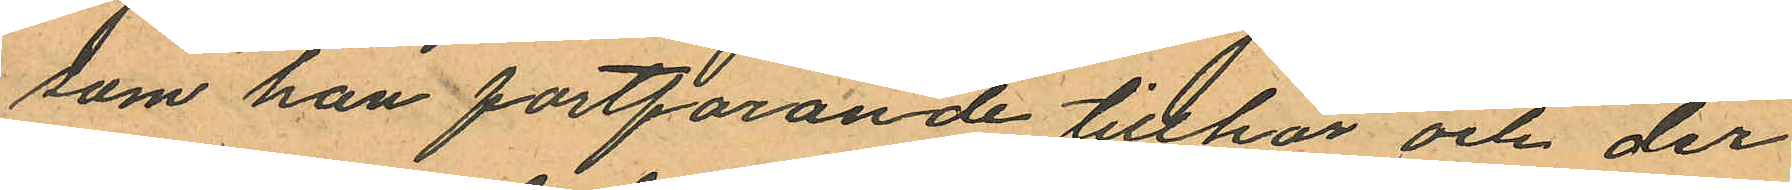som han fortfarande tillhör och der
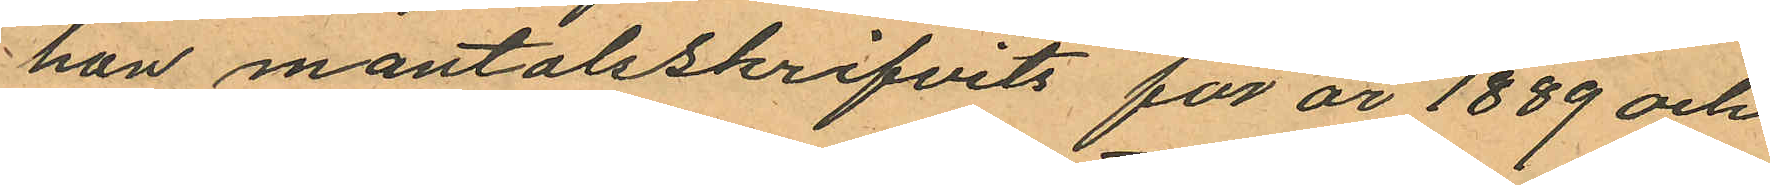han mantalsskrifvits för år 1889 och
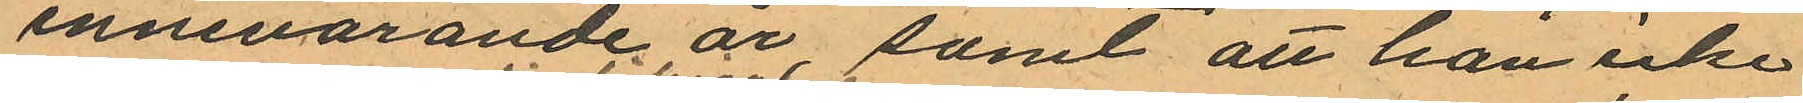innevarande år samt att han icke
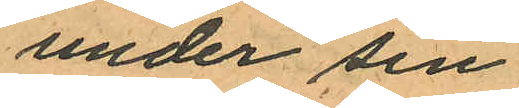under sin
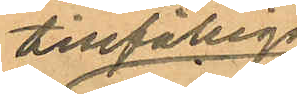tillfälliga
